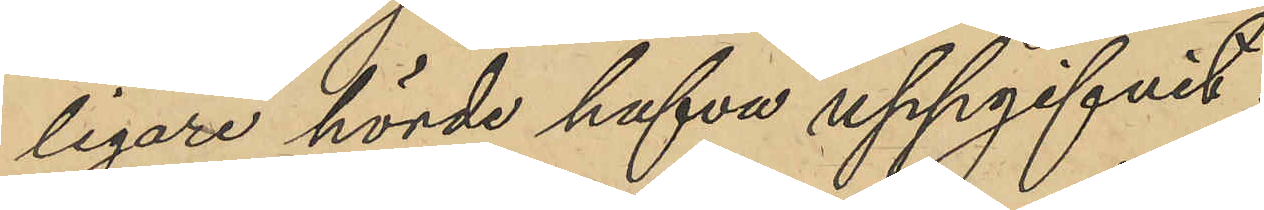ligare hörda hafva uppgifvit:
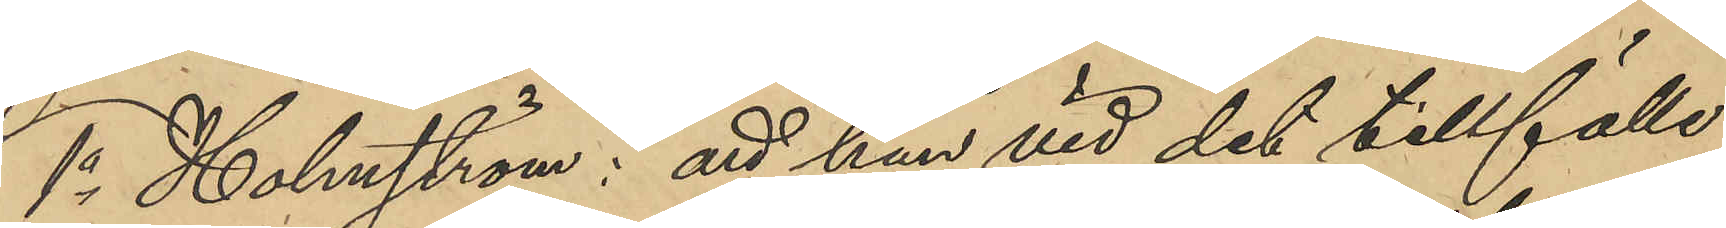1o Holmström: att han vid det tillfälle
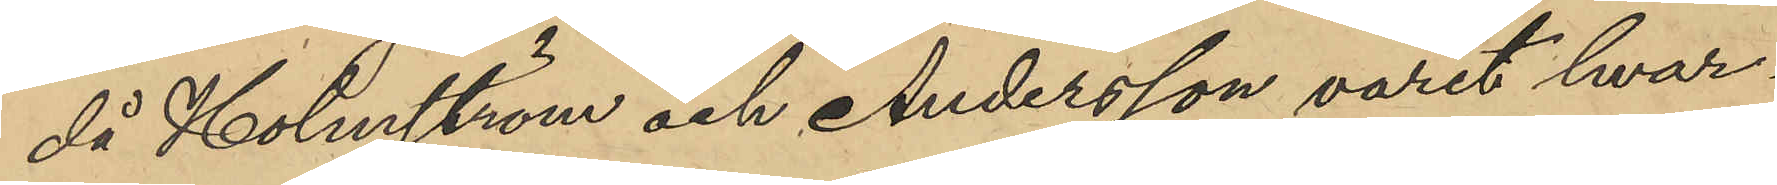då Holmström och Anderson varit hvar¬
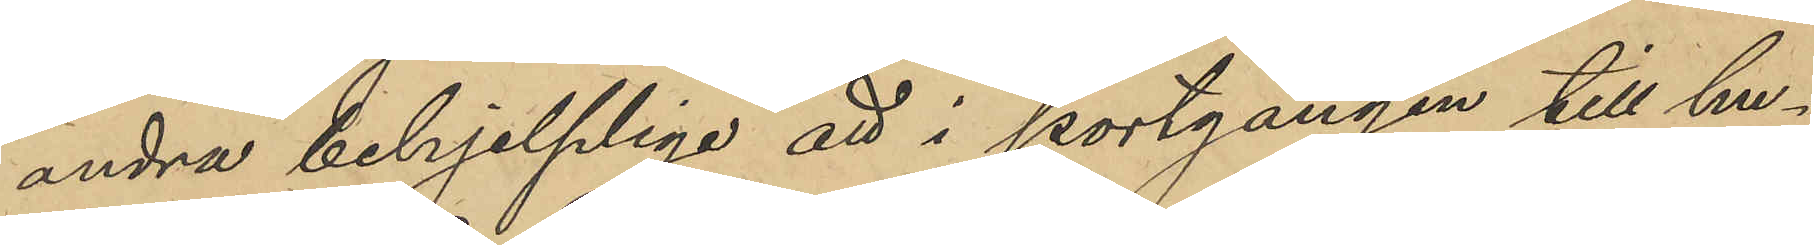andra behjelplige att i portgången till hu¬
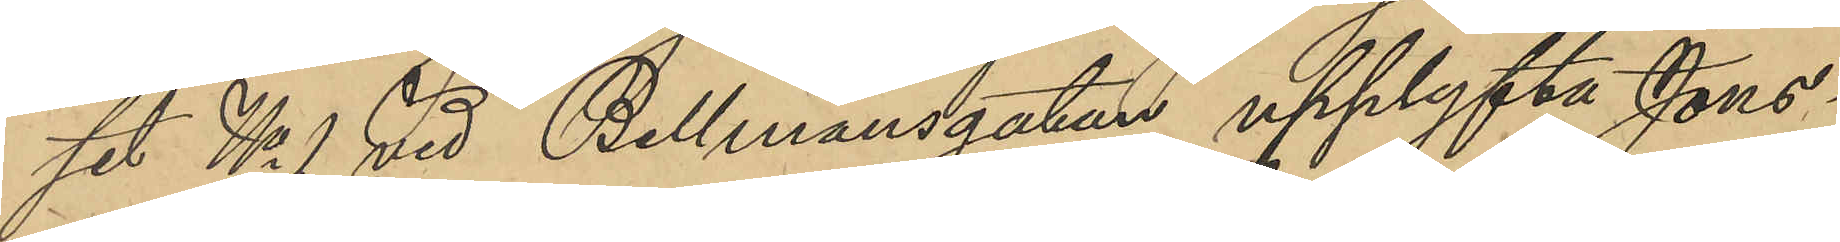set No 1 vid Bellmansgatan upplyft Jons¬
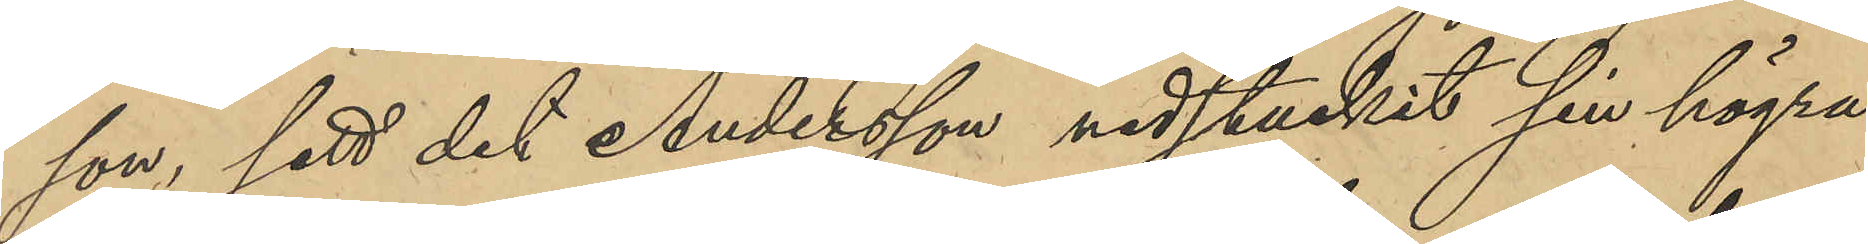son, sett det Andersson nedstuckit sin högra
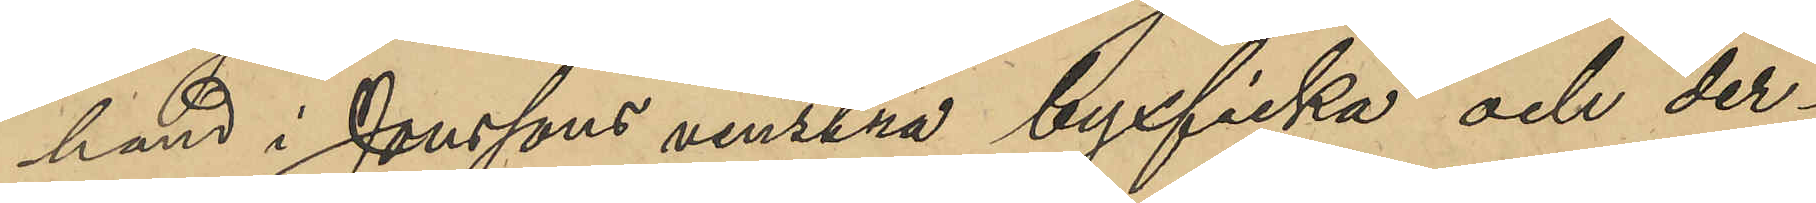hand i Jonssons venstra byxficka och der¬
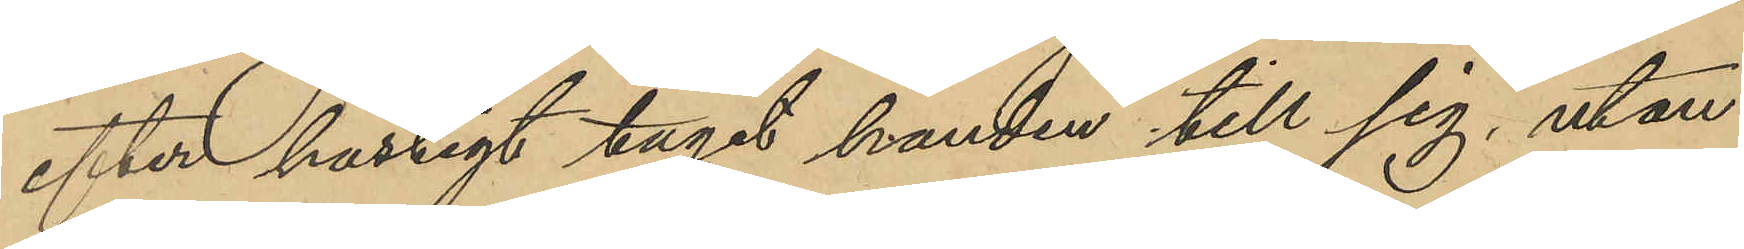efter hastigt tagit handen till sig, utan
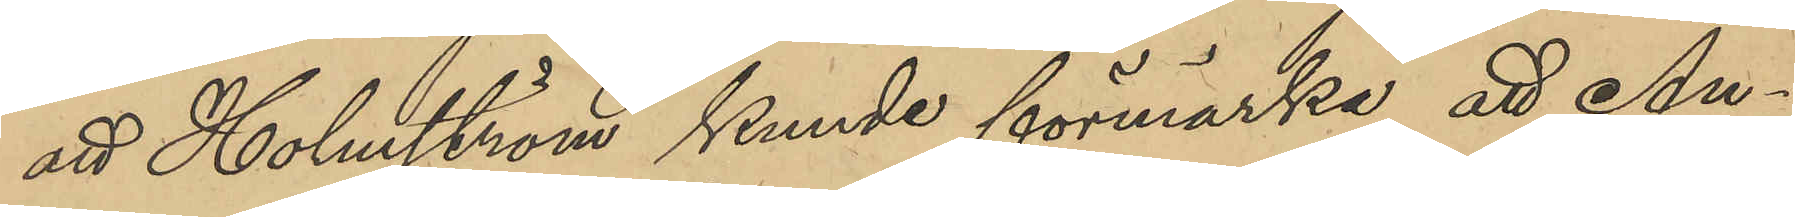att Holmström kunde förmärka att An¬
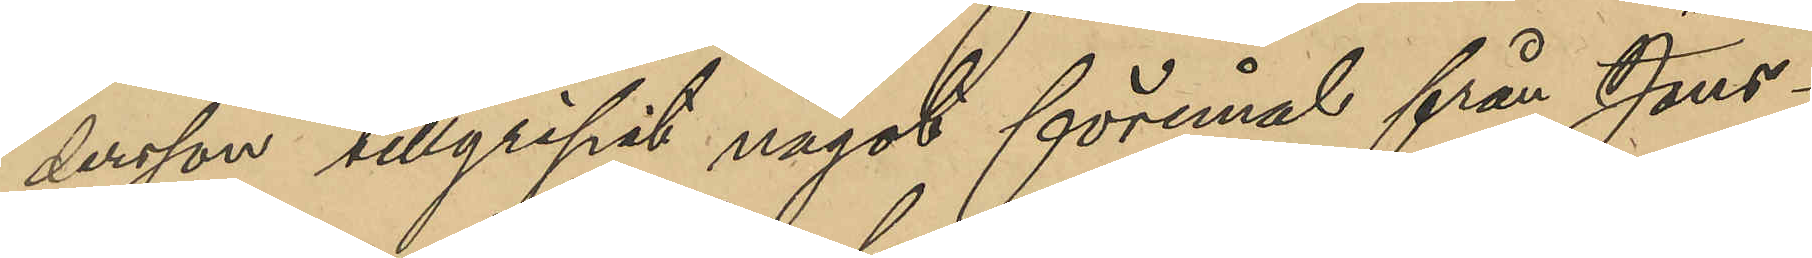dersson tillgripit något föremål från Jons¬
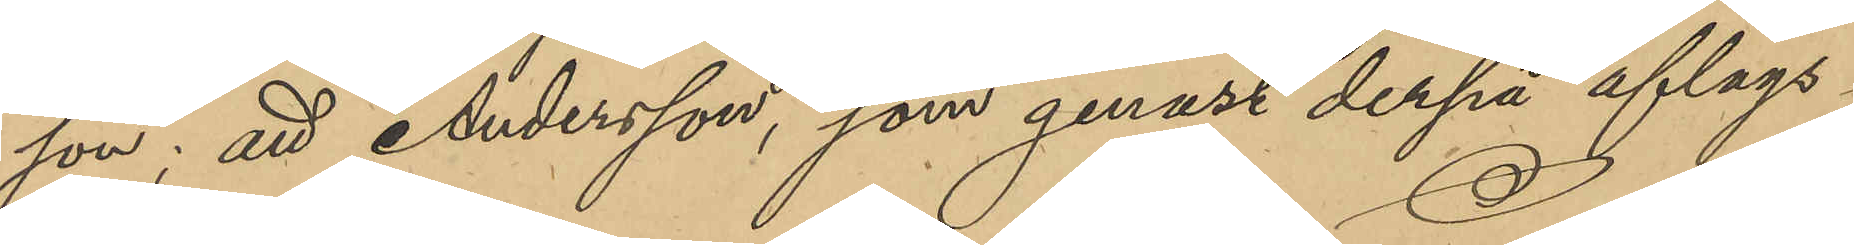son; att Andersson som genast derpå aflägs¬
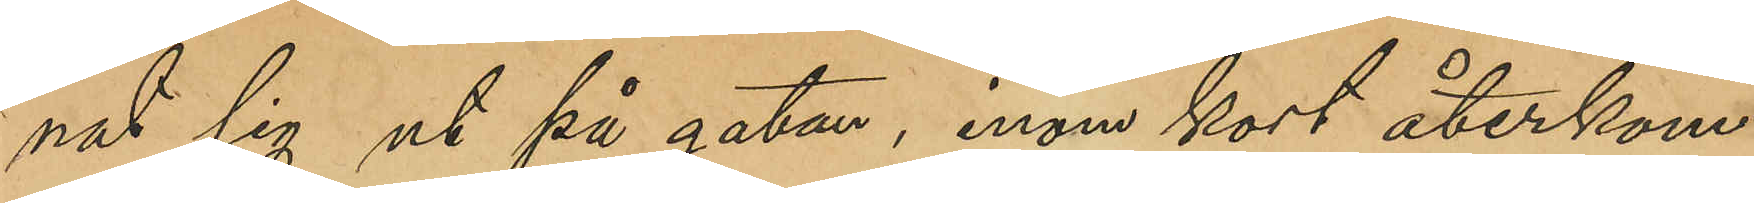nat sig ut på gatan, inom kort återkom¬
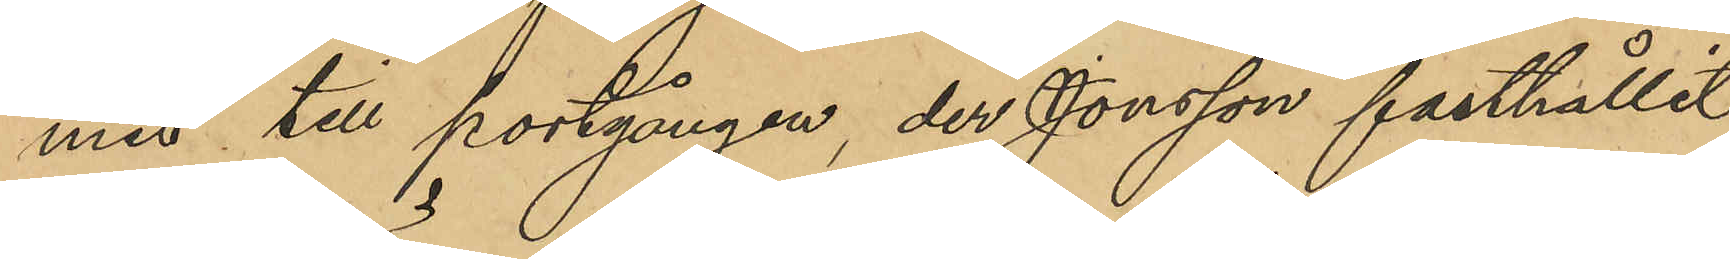mit till portgången, der Jonsson fasthållit
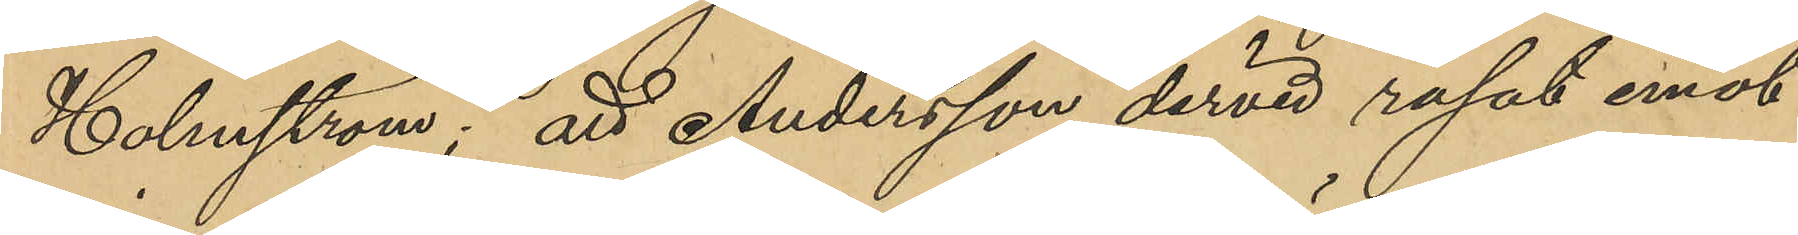Holmström; att Andersson dervid rusat emot
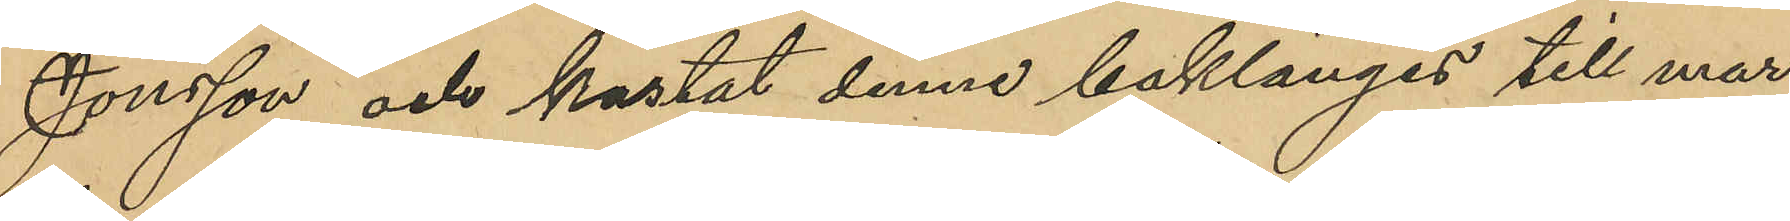Jonsson och kastat denne baklänges till mar¬
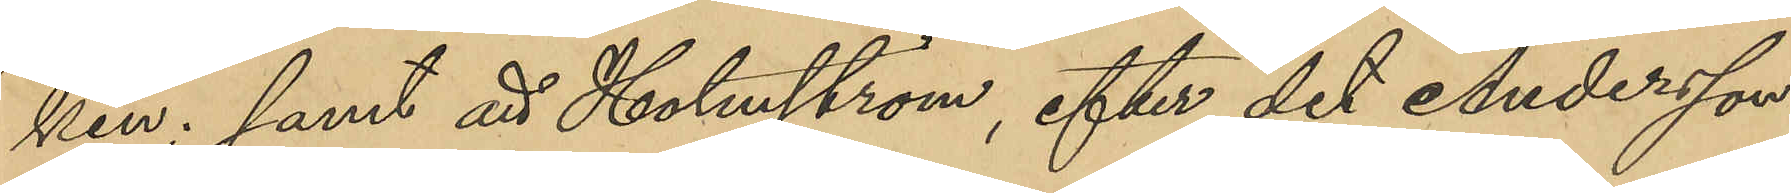ken; samt att Holmström, efter det Andersson
